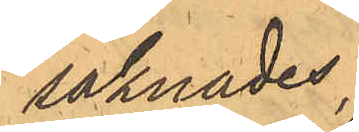saknades.
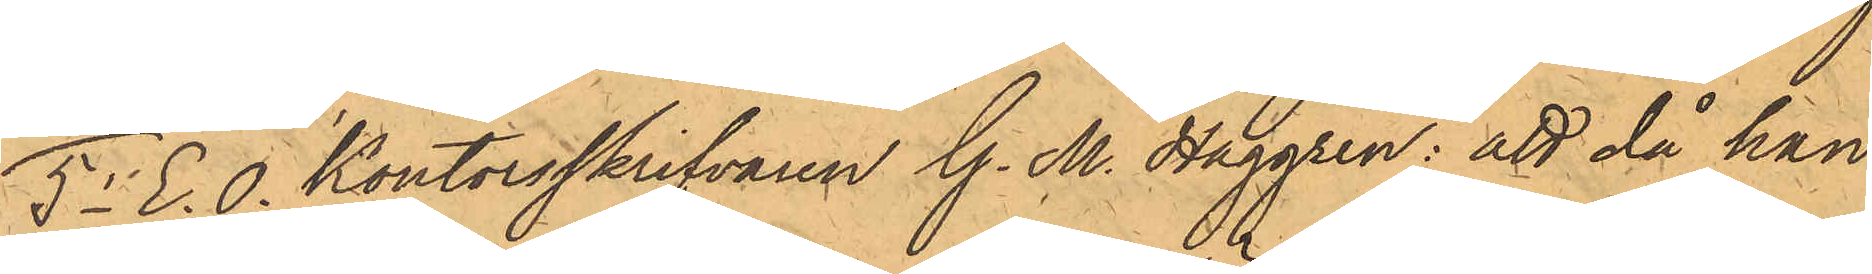5o E. O. Kontorsskrifvaren G. M. Haggren: att då han
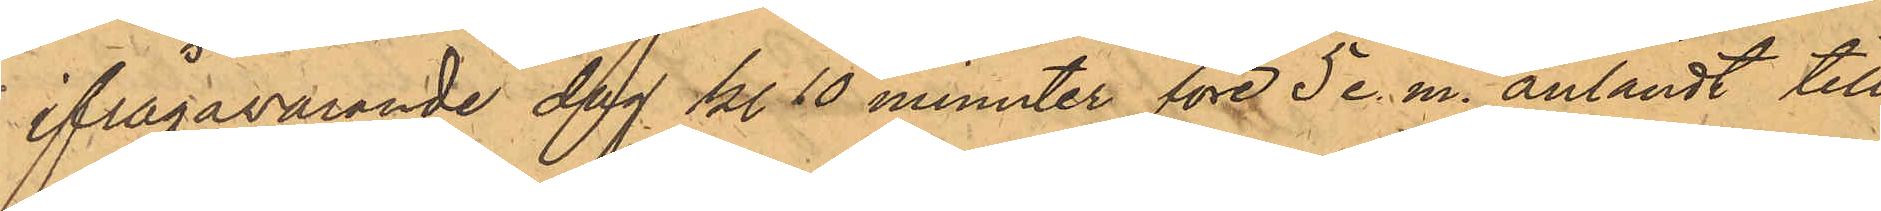ifrågavarande dag kl. 10 minuter före 5 e. m. anländt till
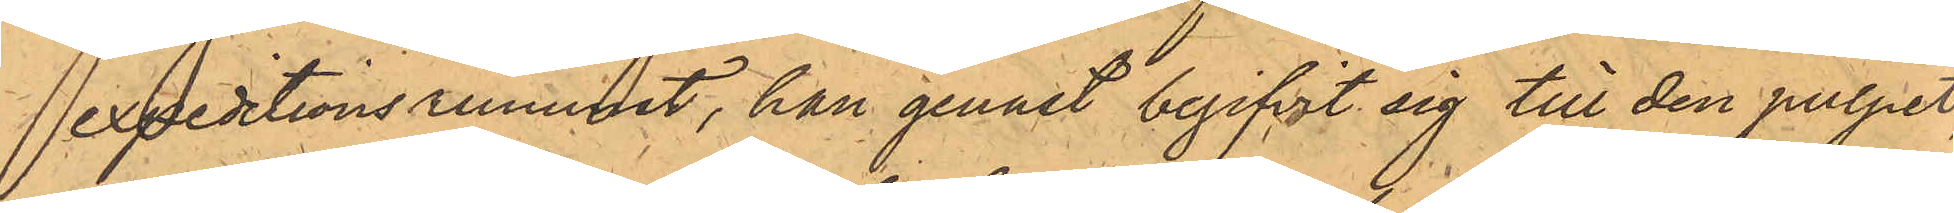expeditionsrummet, han genast begifvit sig till den pulpet,
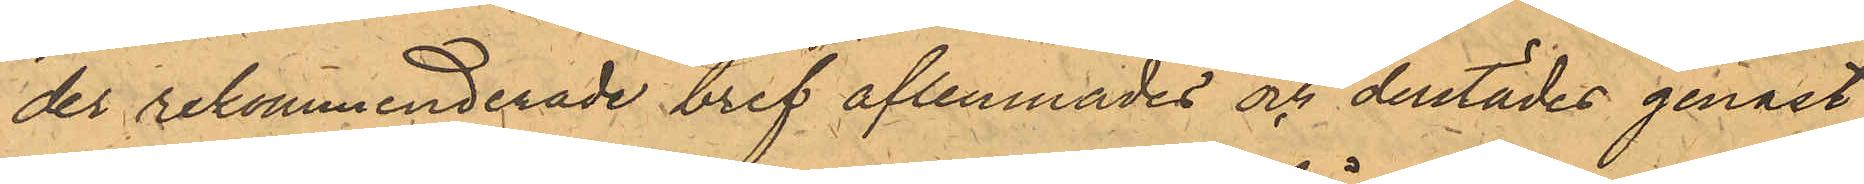der rekommenderade bref aflemnades och derstädes genast
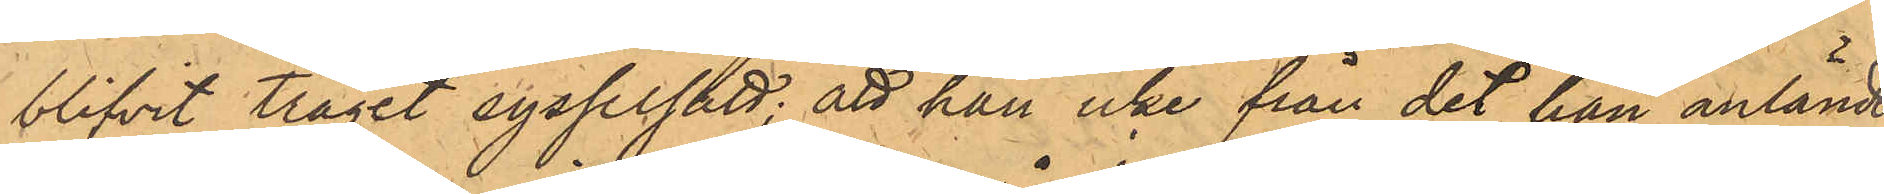blifvit träget sysselsätt; att han icke från det han anlände
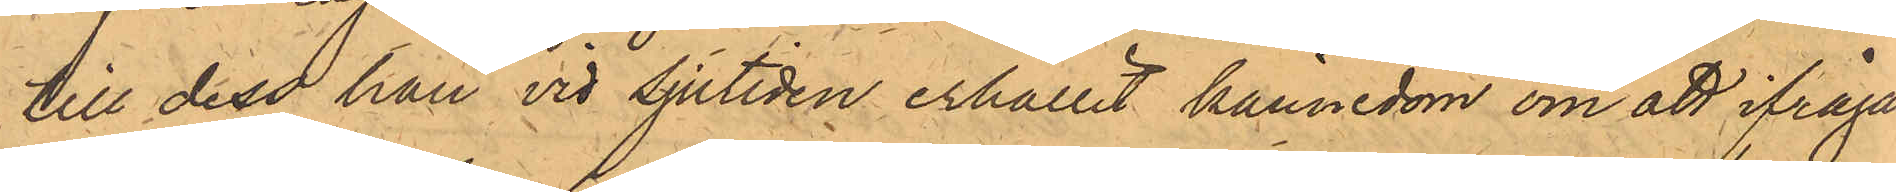till dess han vid sjutiden erhållit kännedom om att ifråga¬
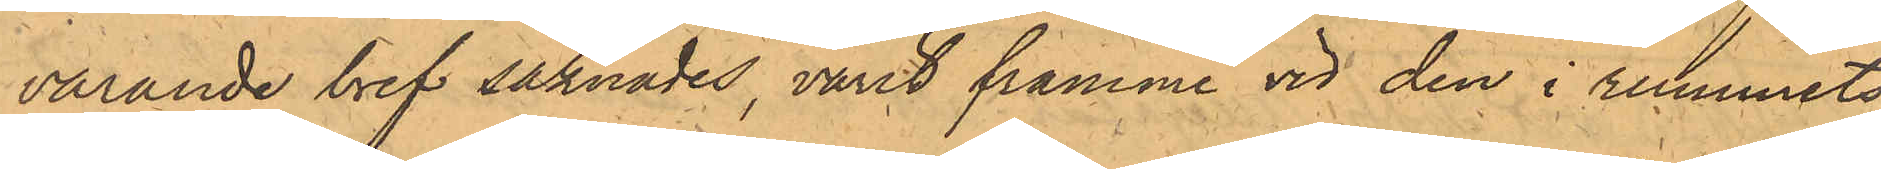varande bref saknades, varit framme vid den i rummets
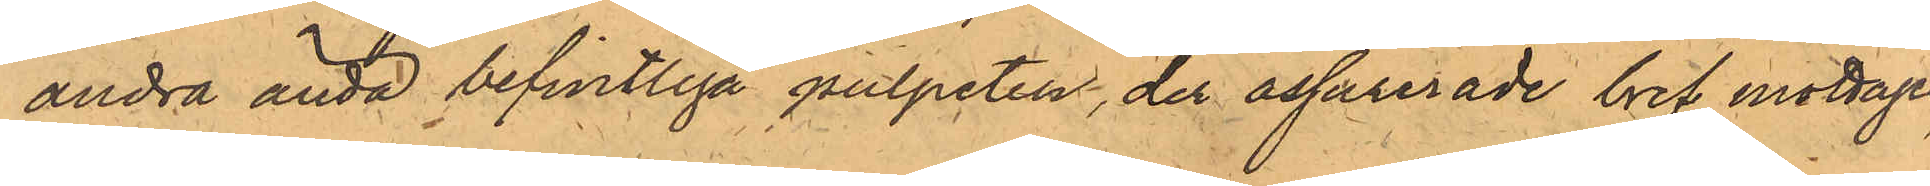andra ända befintliga pulpeten, der assurerade bref mottages,
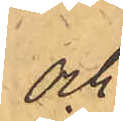och
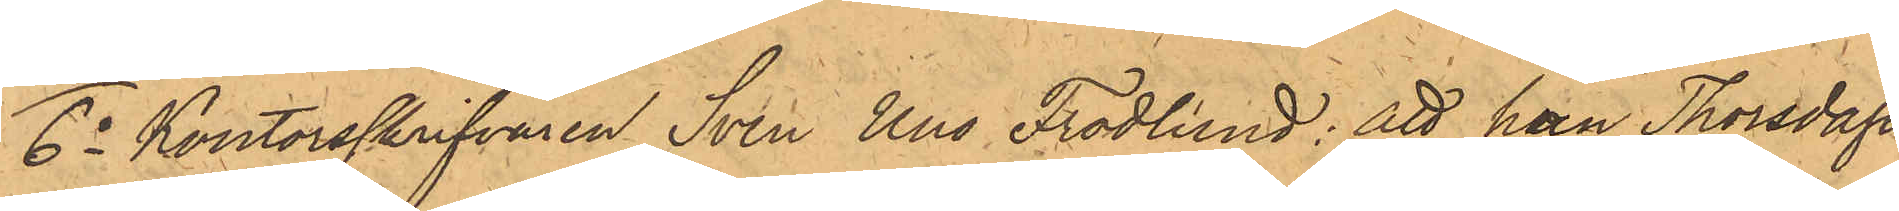6o Kontorsskrifvaren Sven Uno Frodlund: att han Thorsdagen
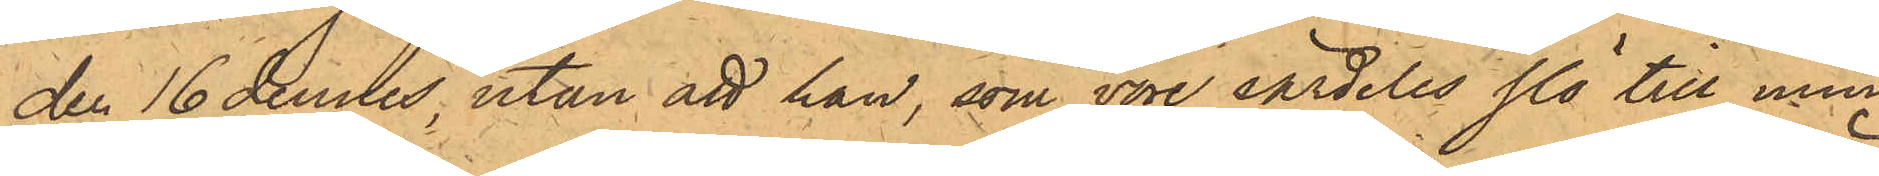den 16 dennes, utan att han, som vore särdeles slö till min¬
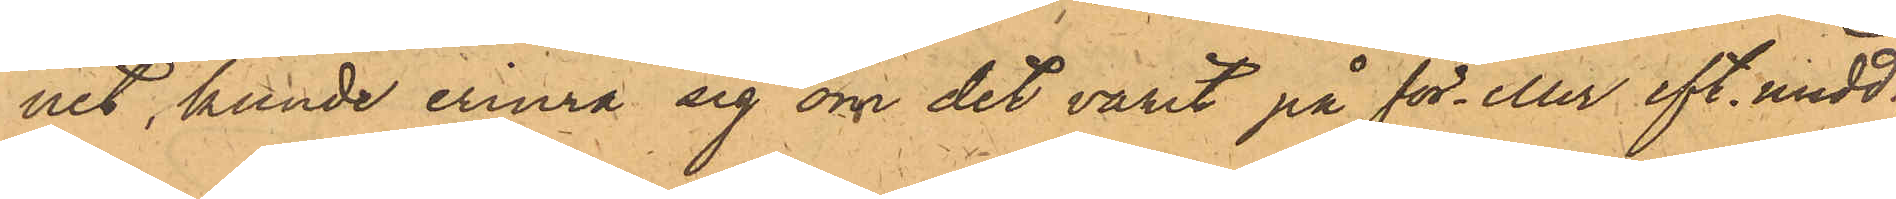net, kunde erinra sig om det varit på för- eller eft. midd.,
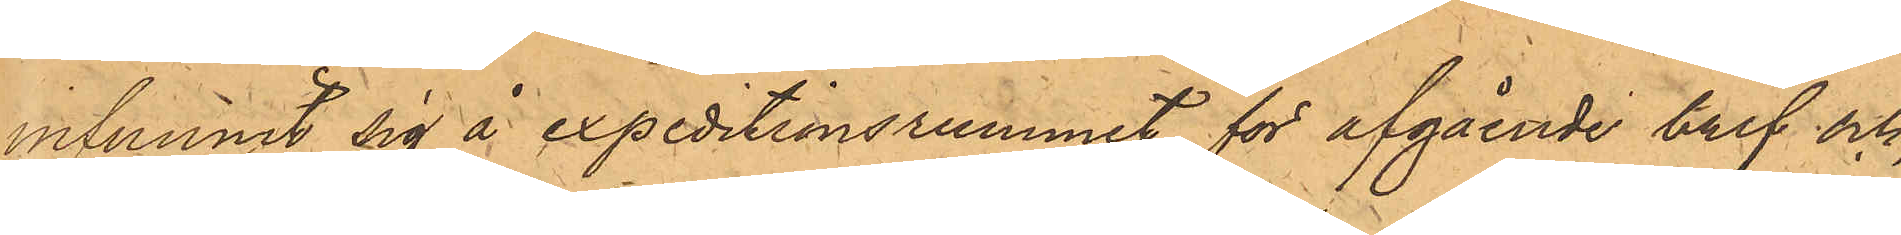infunnit sig å expeditionsrummet för afgående bref och,
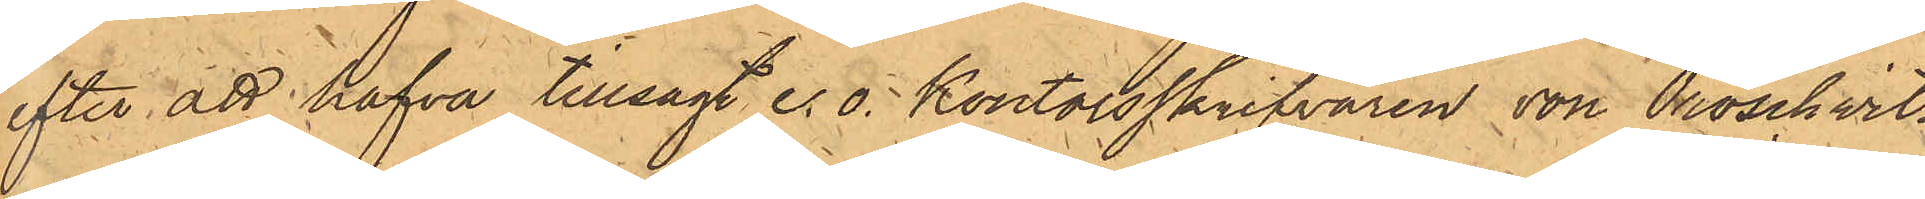efter att hafva tillsagt e.o. kontorsskrifvaren von Proschwitz,
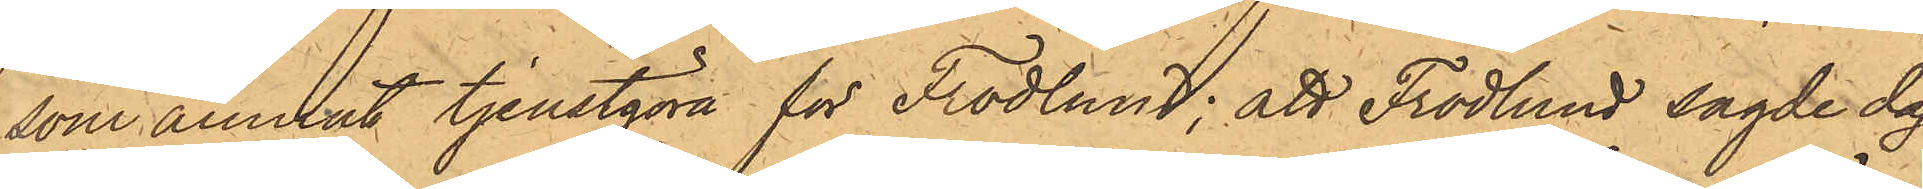som ämnat tjenstgöra för Frodlund; att Frodlund sagde dag
